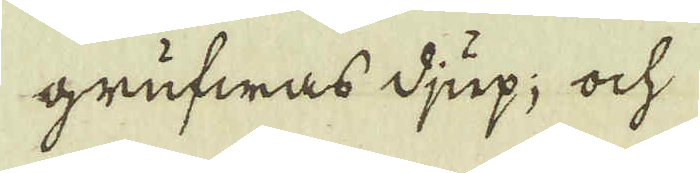grufwas djup; ock
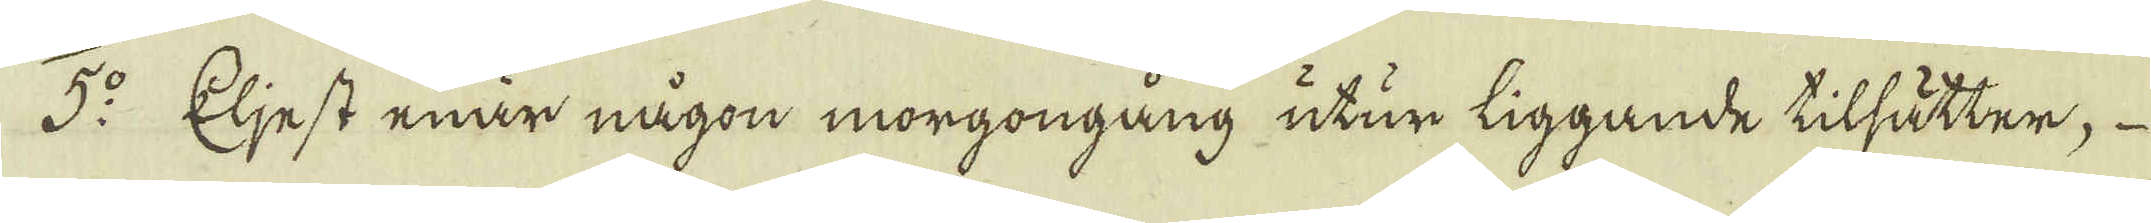5:o Eljest enär någon morgongång utur liggande tilsätter, 
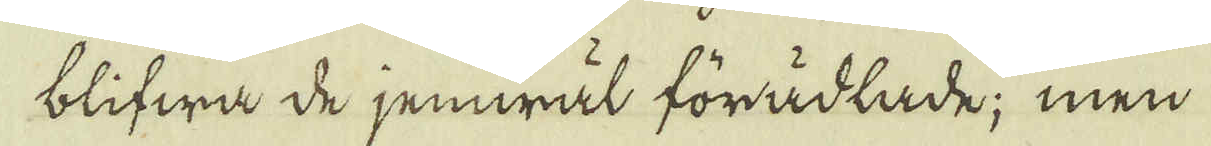blifwa de jemwäl förädlade; men
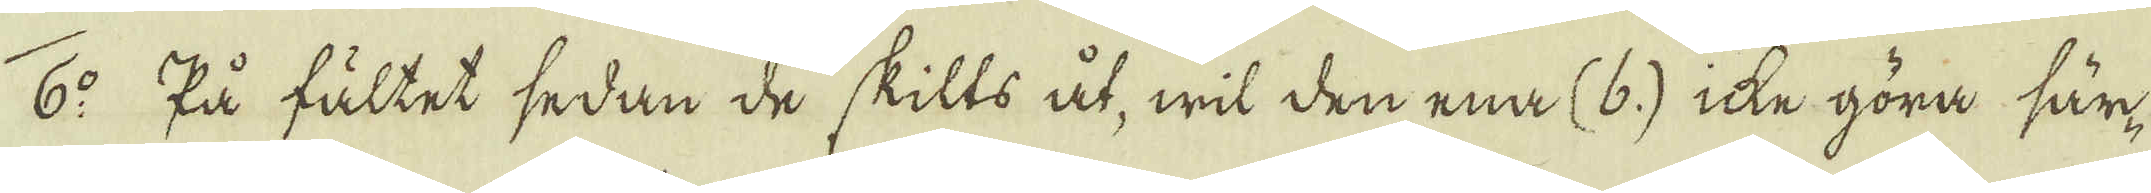6:o På fältet sedan de skills åt, wil den ena (b) icke göra sär-
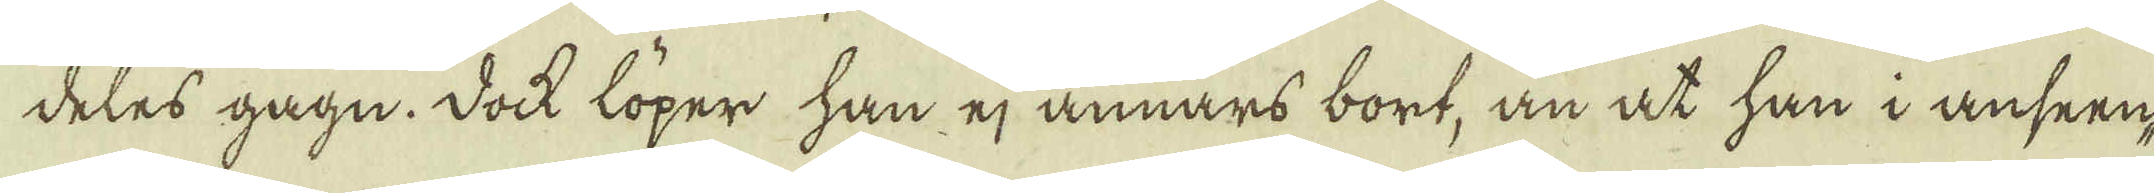deles gagn. Dock löper han ej annars bort, än at han i anseen-
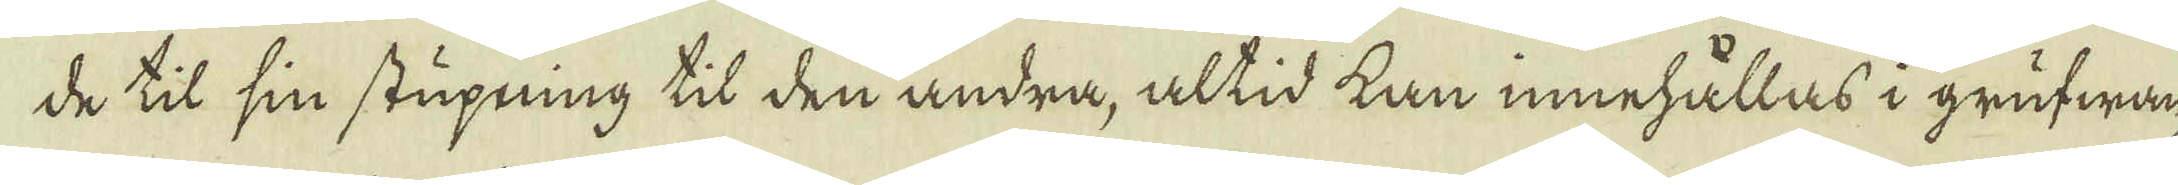de til sin stupning til den andra, altid kan innehållas i grufwan-
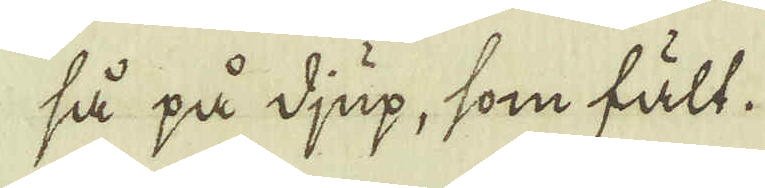så på djup, som fält.
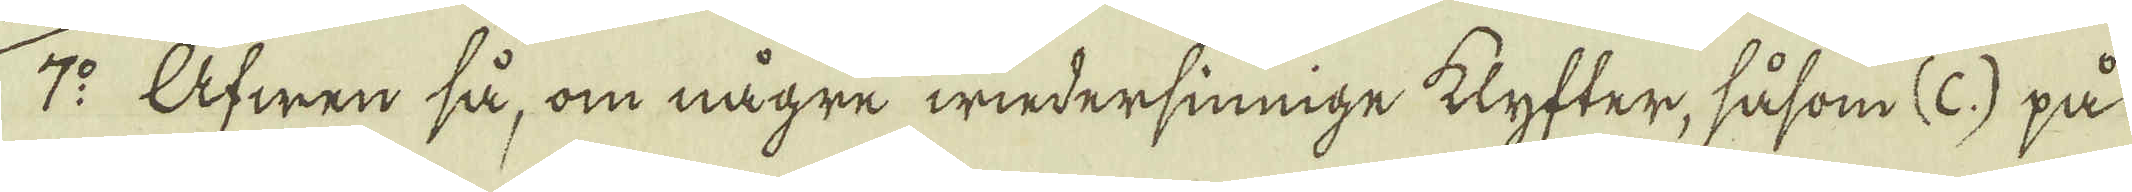7:o Ufwen så, om någre wiedersinnige klyfter, såsom (C.) på
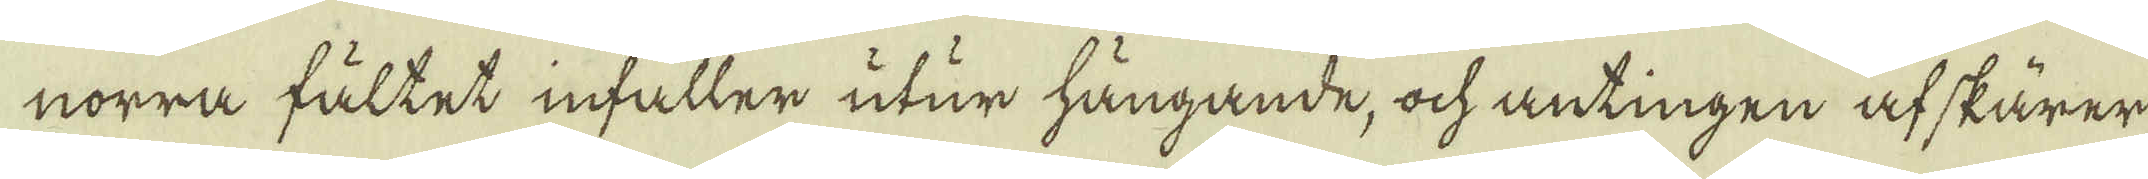norra fältet infaller utur hängande, ock antingen af skärer
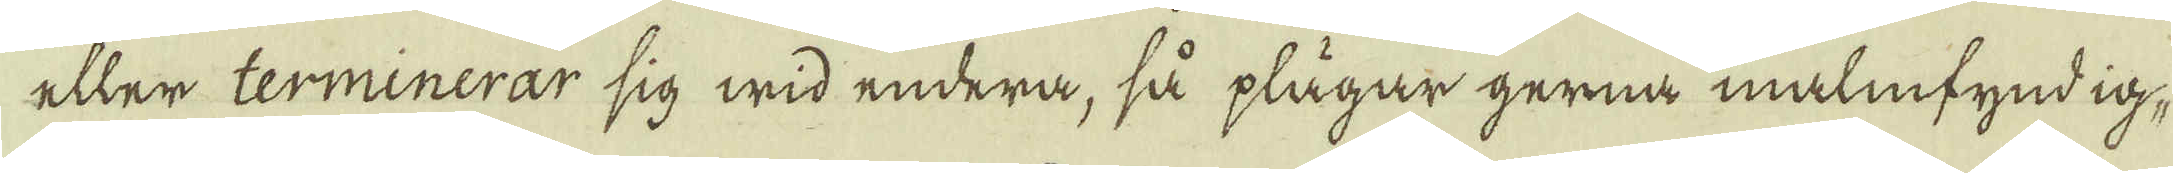eller terminerar sig wid endera, så plägar gerna malmfyndig,
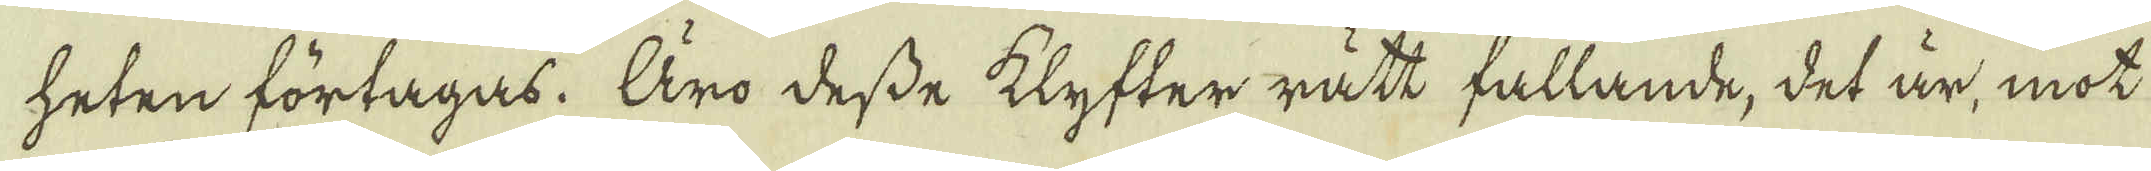heten förtagas. Äro desse klyfter rätt fallande, det är, mot
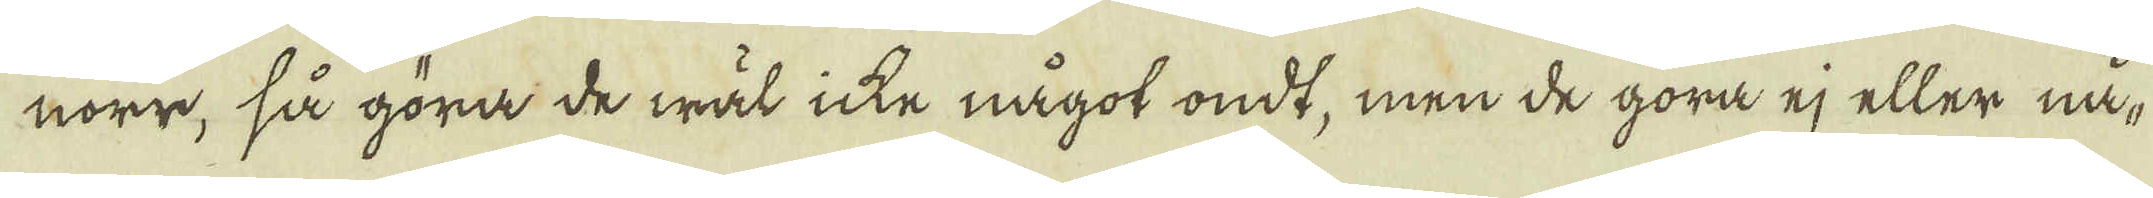norr, så göra de wäl icke något ondt, men de göra ej eller nå-
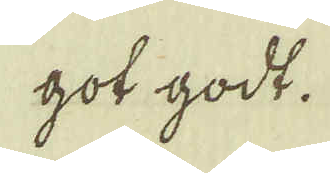got godt.
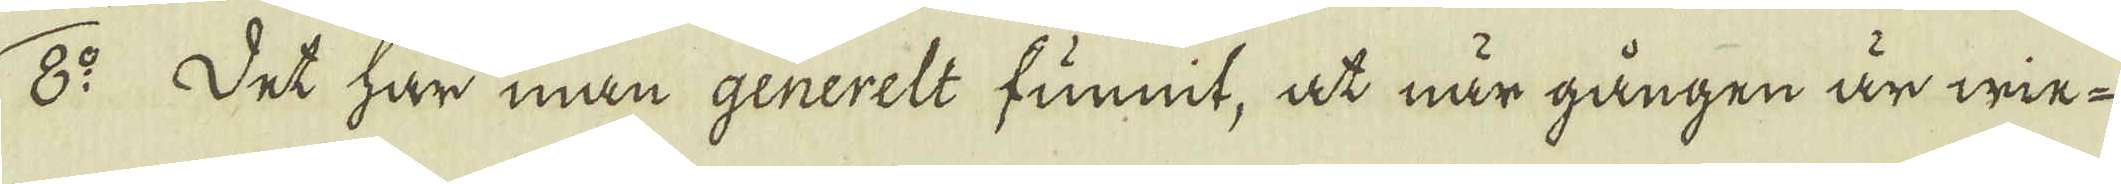8:o et har man generelt funnit, at när gången är wie-
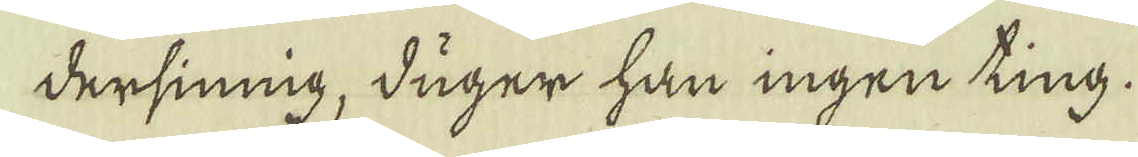dersining, duger han ingen ting.
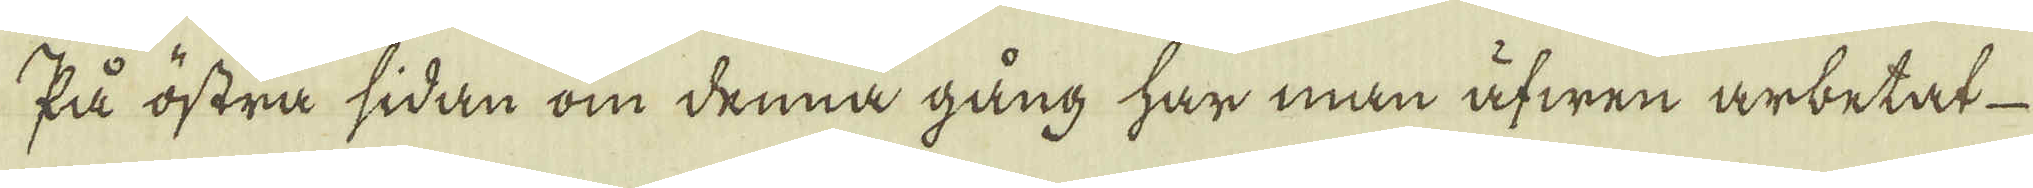Så östra sidan om denna gång har man äfwen arbetat
